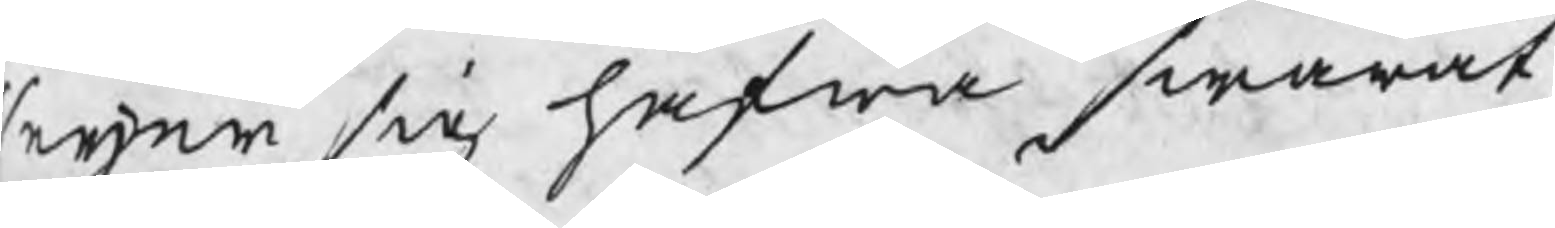seijer sig hafwa swarat,
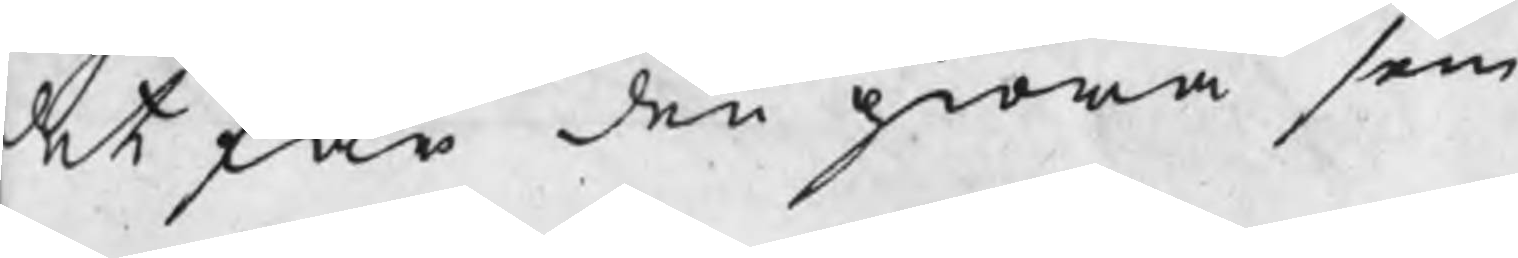det får den giöra som
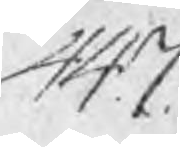447
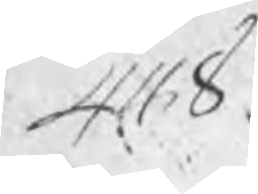448
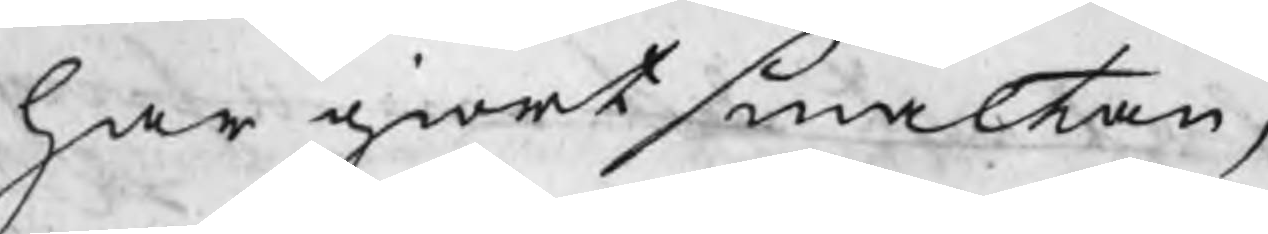har giort smältan, d
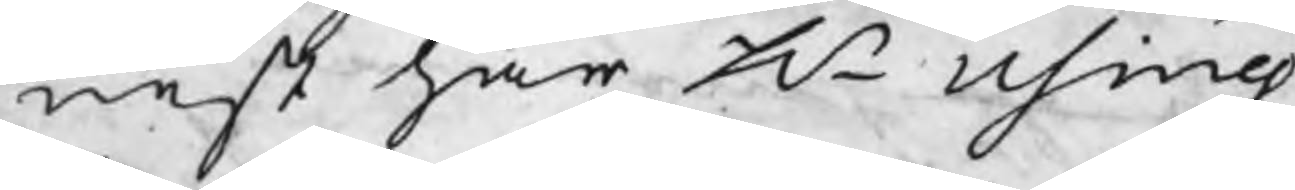nest har Hr Using
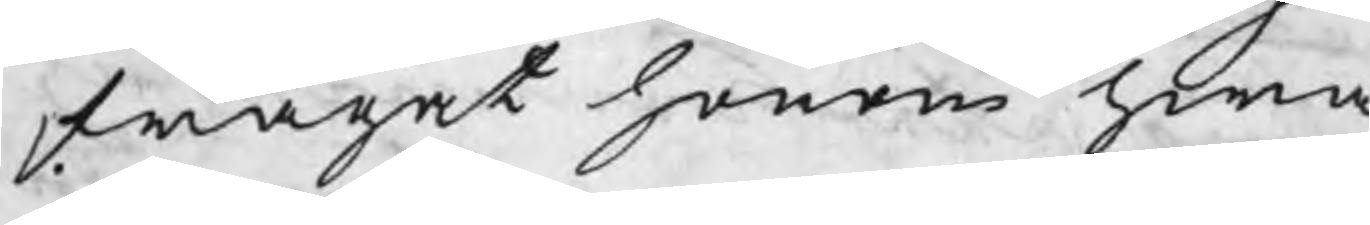frågat honom hwa
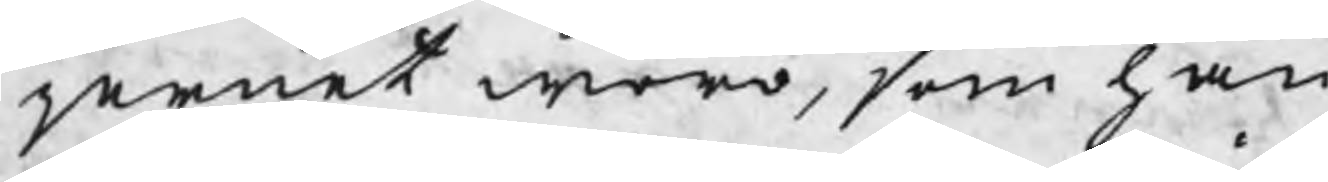jernet woro, som han
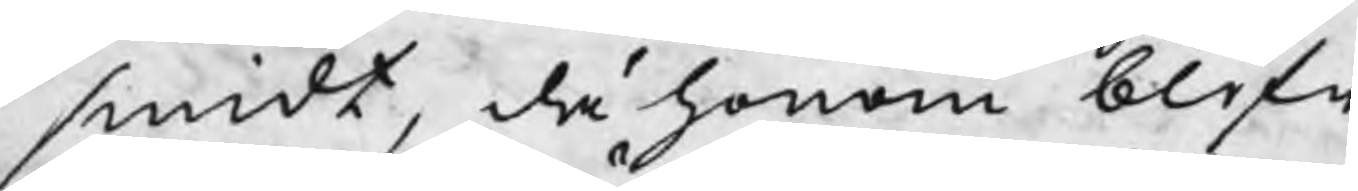smidt, då honom blifw
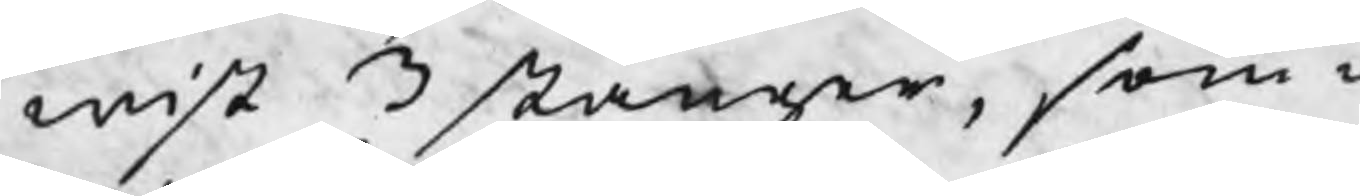wist 3 stänger, som w
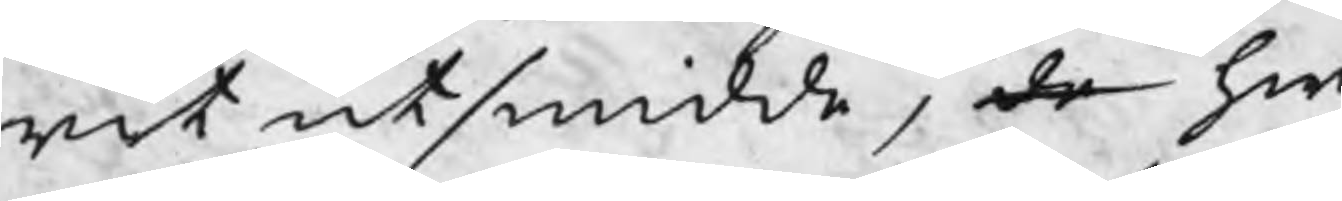rit utsmidde, de hw
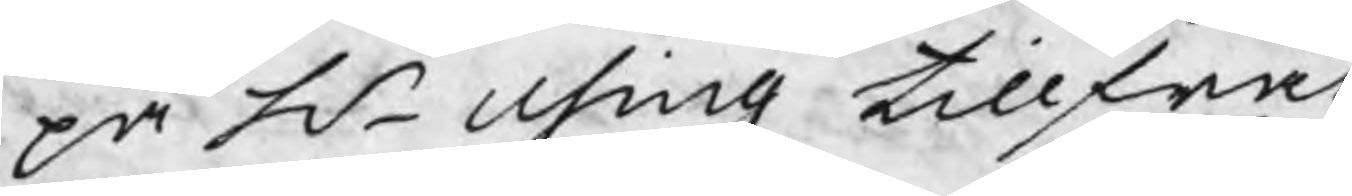på H Using tillfråg
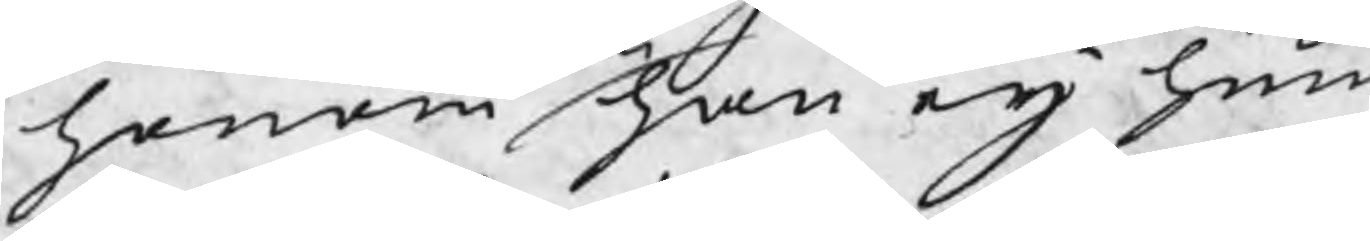honom han eij hin
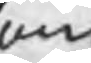om
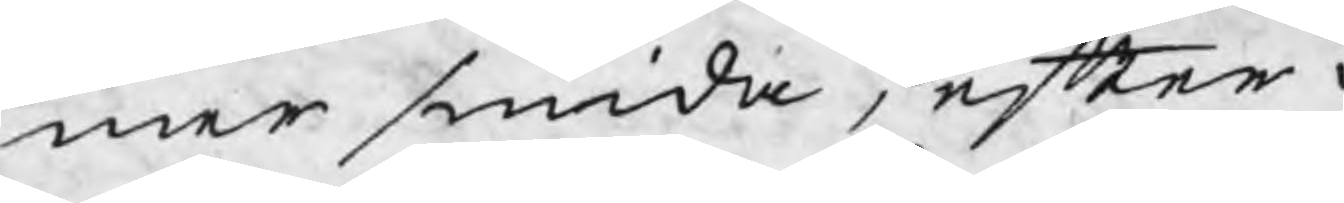mer smida, efter d
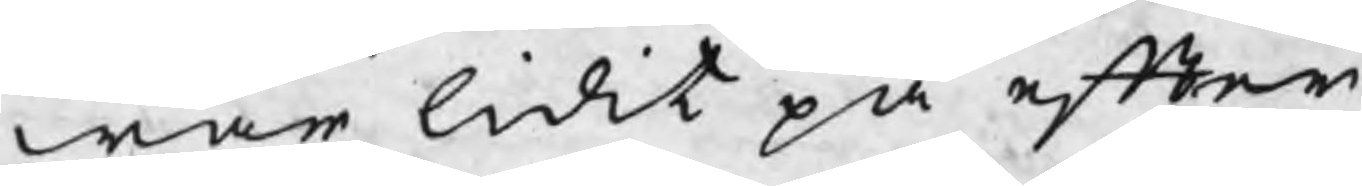war lidit på efter¬
